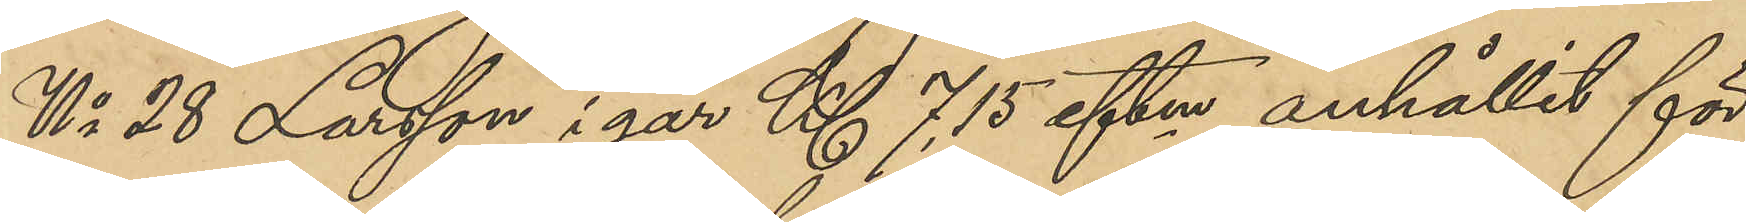No 28 Larsson i går Kl 7,15 eftm anhållit för
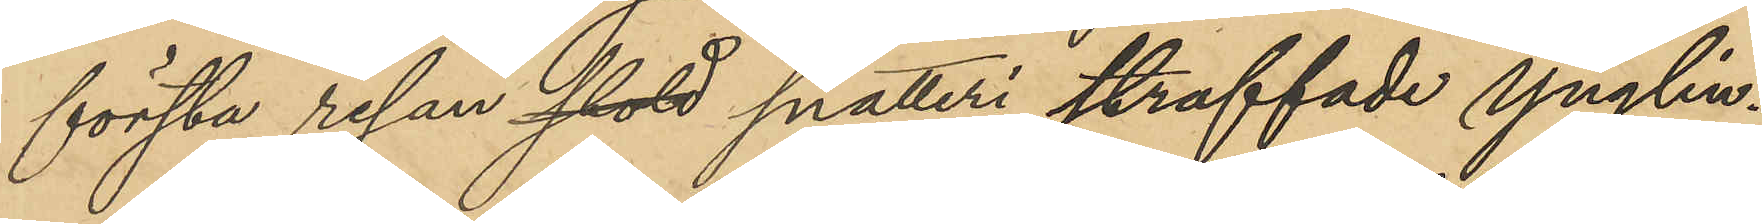första resan stöld snatteri Ynglin¬
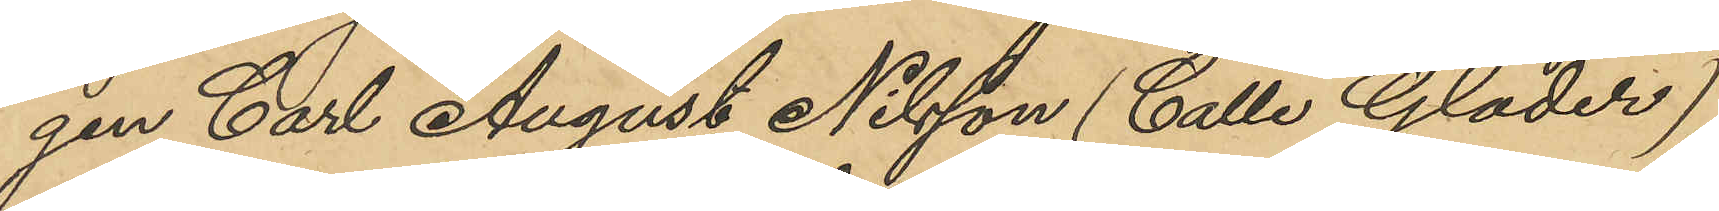gen Carl August Nilsson (Calle Glader),
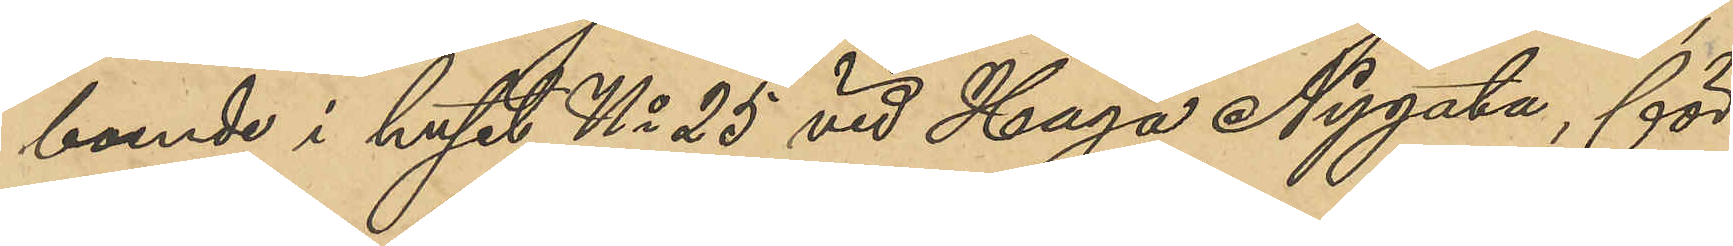boende i huset No 25 vid Haga Nygata, för
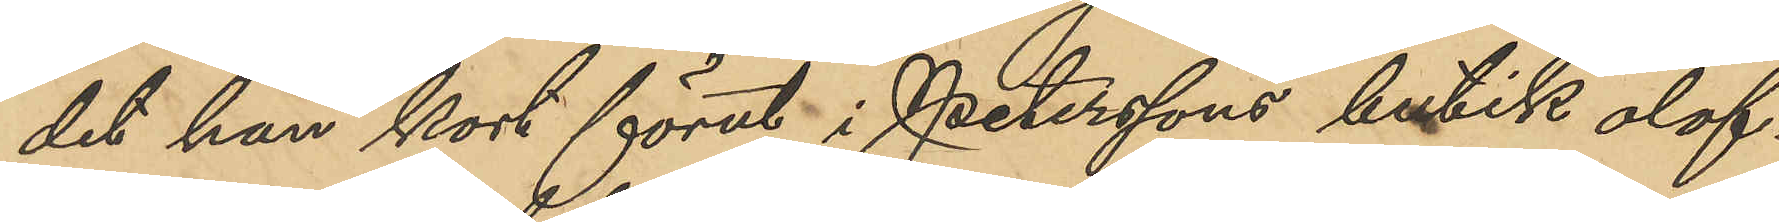det han kort förut i Peterssons butik olof¬
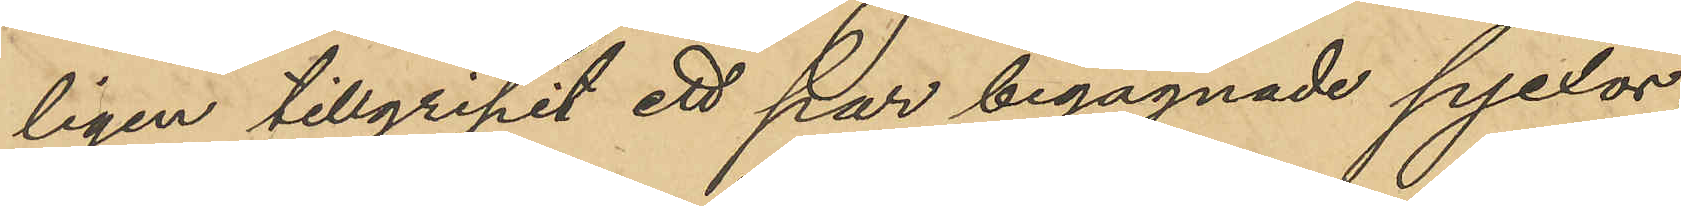ligen tillgripit ett par begagnade pjexor,
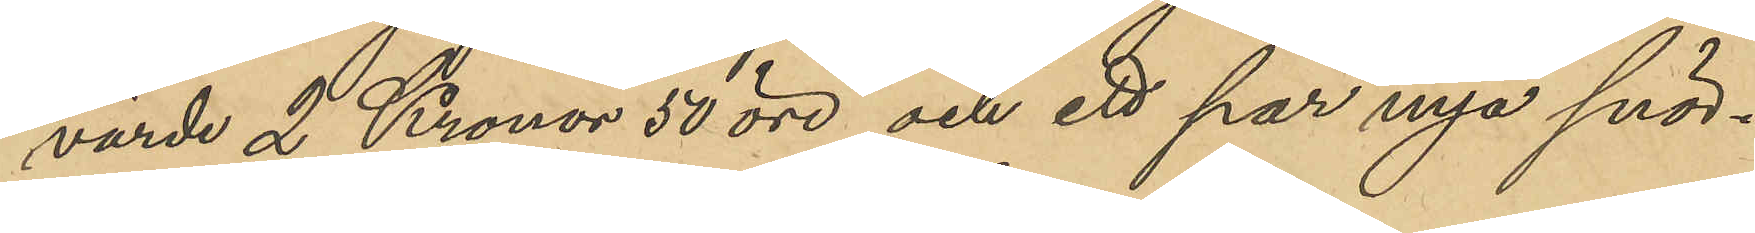värde 2 Kronor 50 öre och ett par nya snör¬
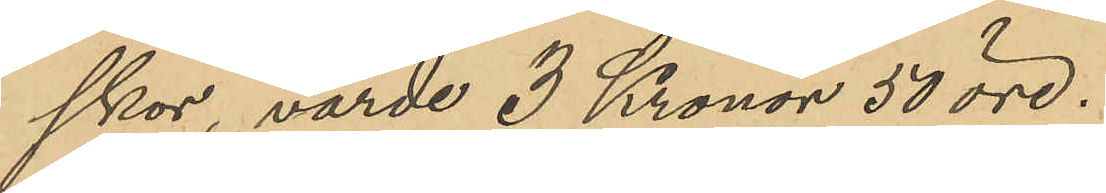skor, värde 3 Kronor 50 öre.
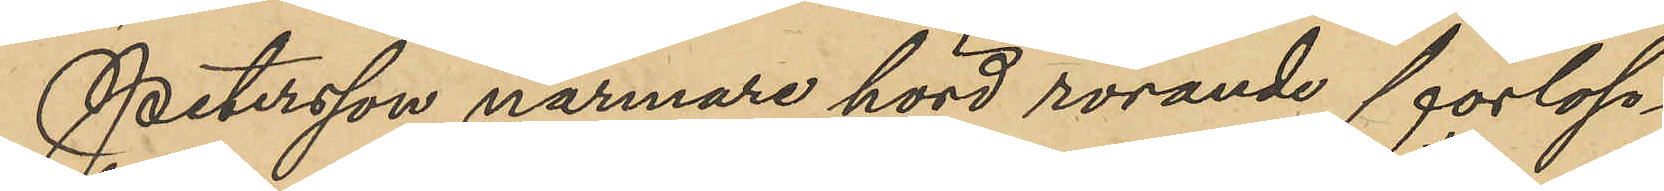Petersson närmare hörd rörande förlop¬
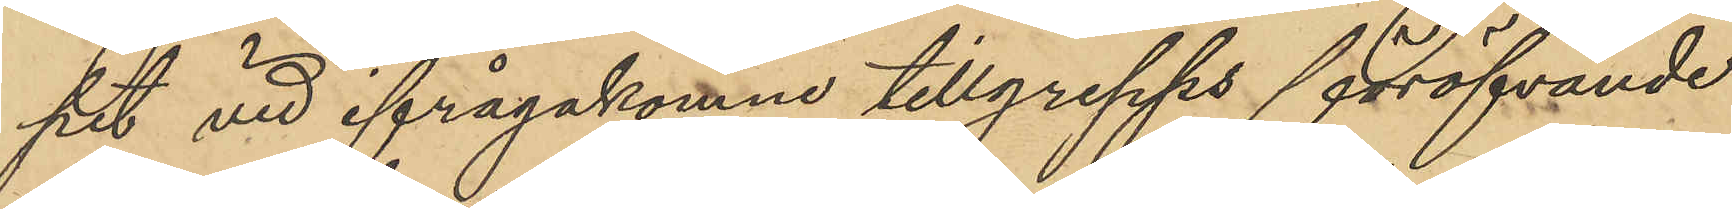pet vid ifrågakomne tillgrepps föröfvande
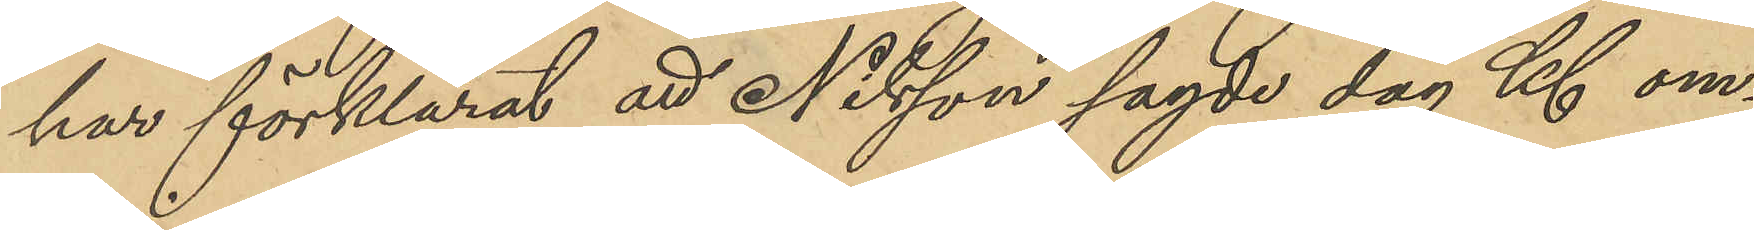har förklarat att Nilsson sagde dag Kl om¬
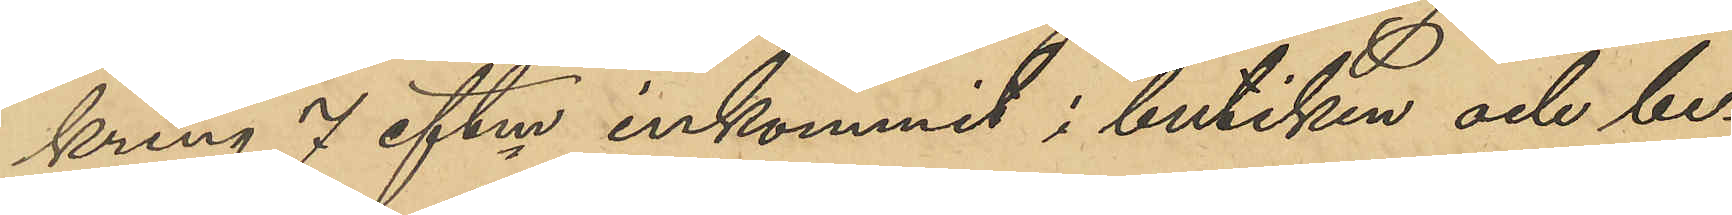kring 7 eftm inkommit i butiken och be¬
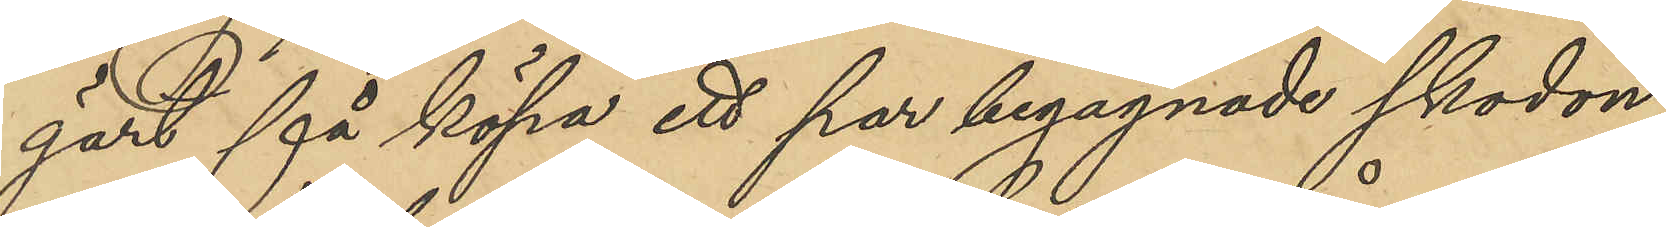gärt få köpa ett par begagnade skodon;
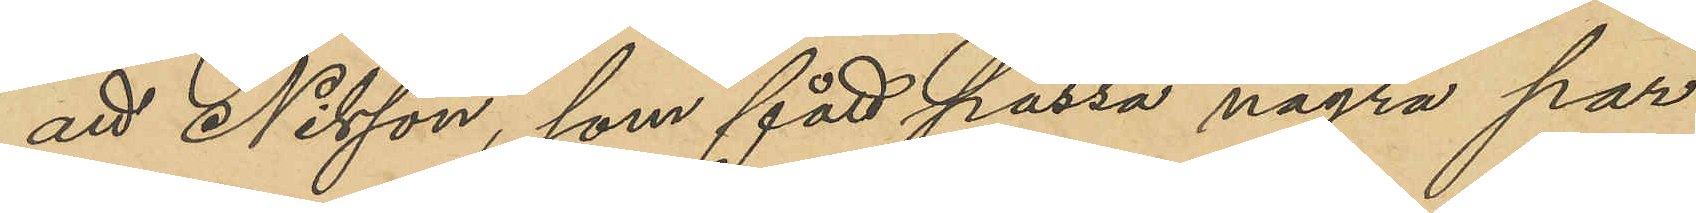att Nilsson, som fått passa några par
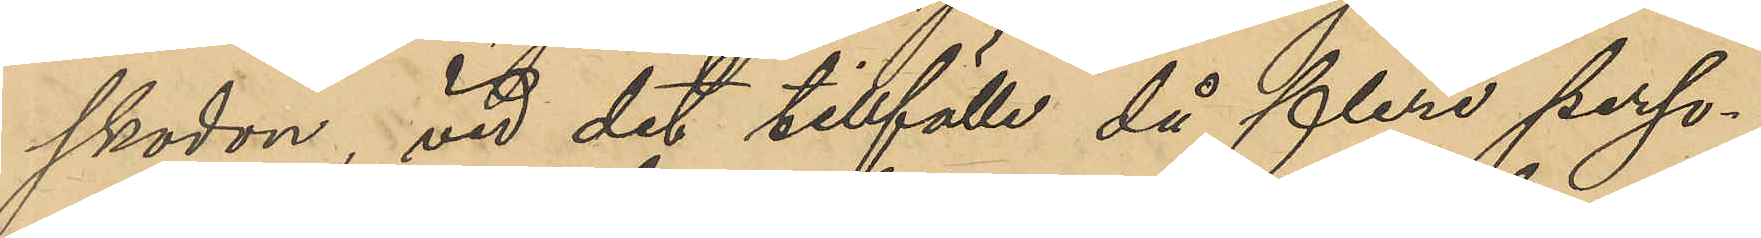skodon, vid det tillfälle då flere perso¬
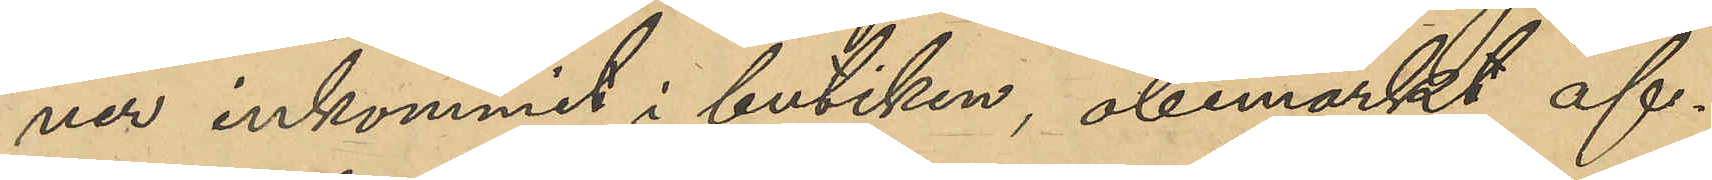ner inkommit i butiken, obemärkt af¬
